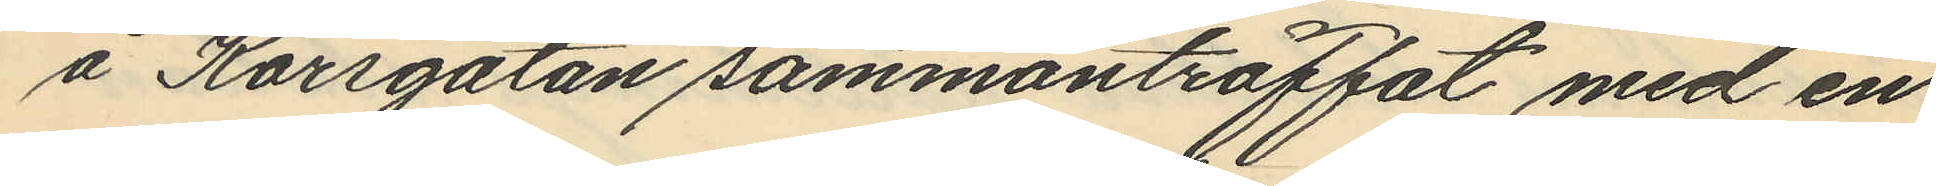å Korsgatan sammanträffat med en
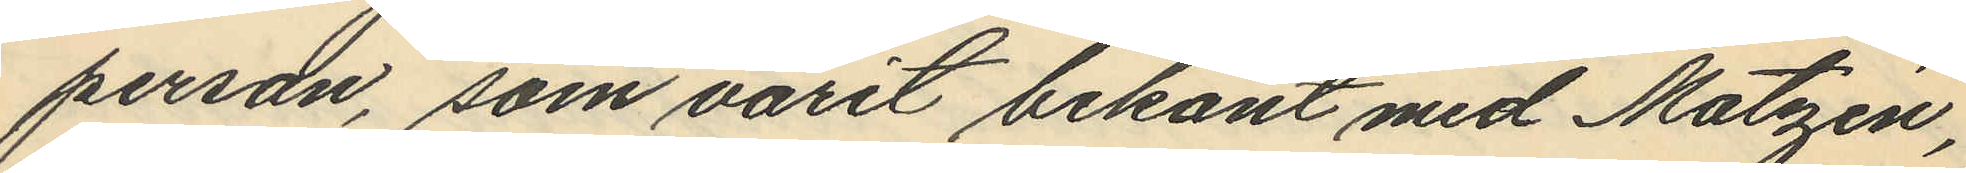person, som varit bekant med Matzén,
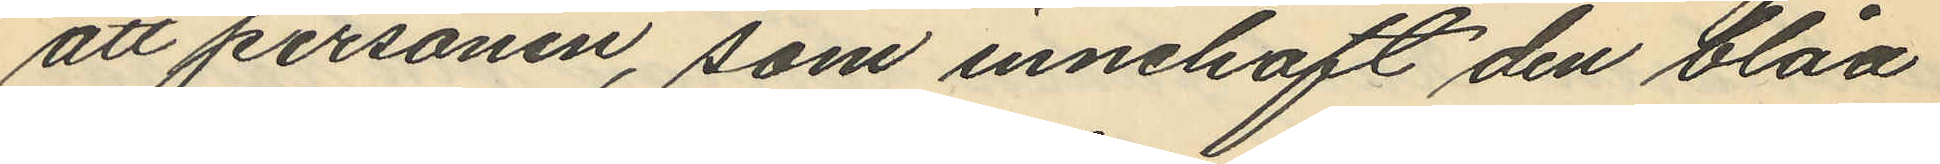att personen, som innehaft den blåa
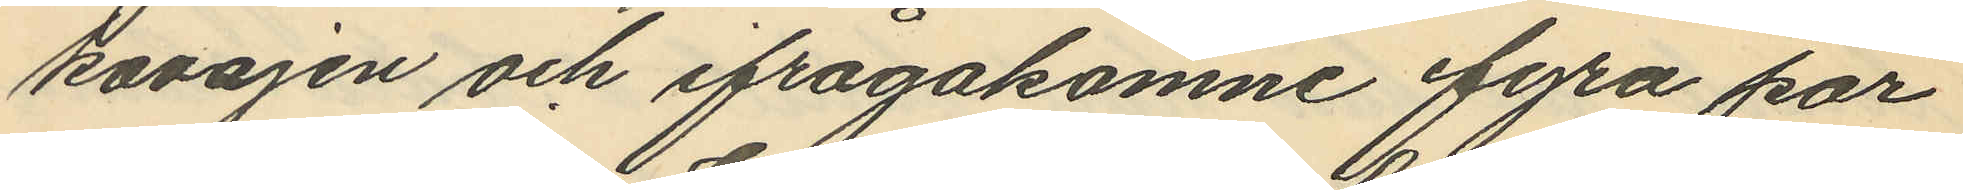kavajen och ifrågakomne fyra par
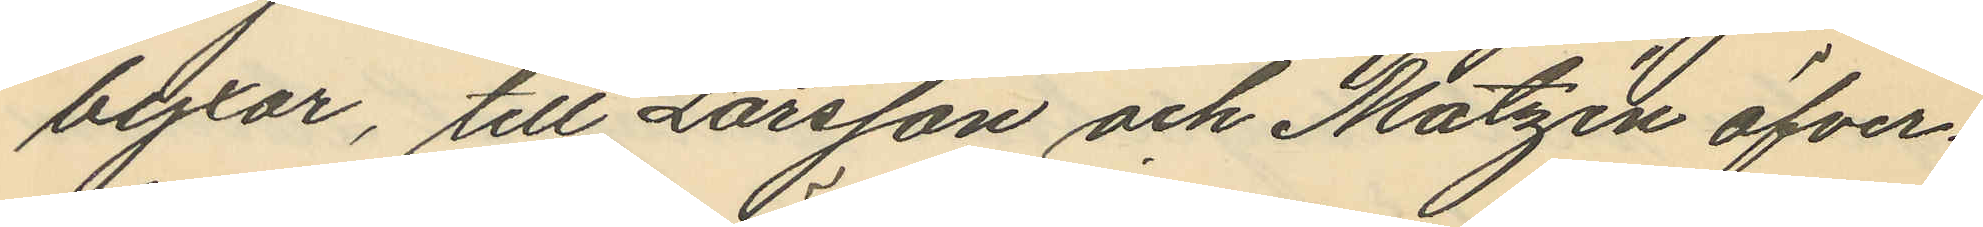byxor, till Larsson och Matzén öfver¬
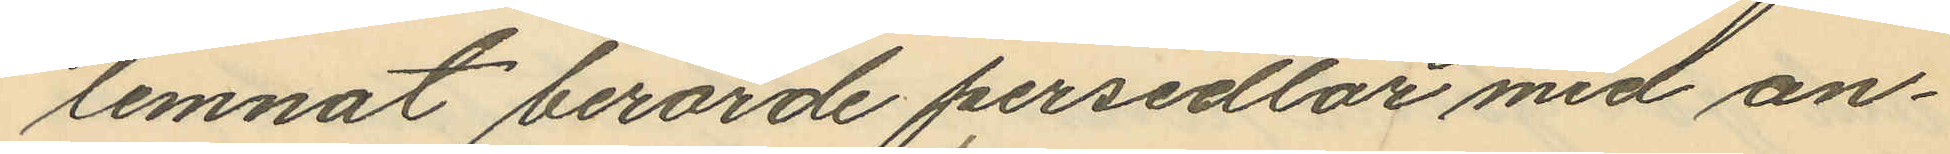lemnat berörde persedlar med an¬
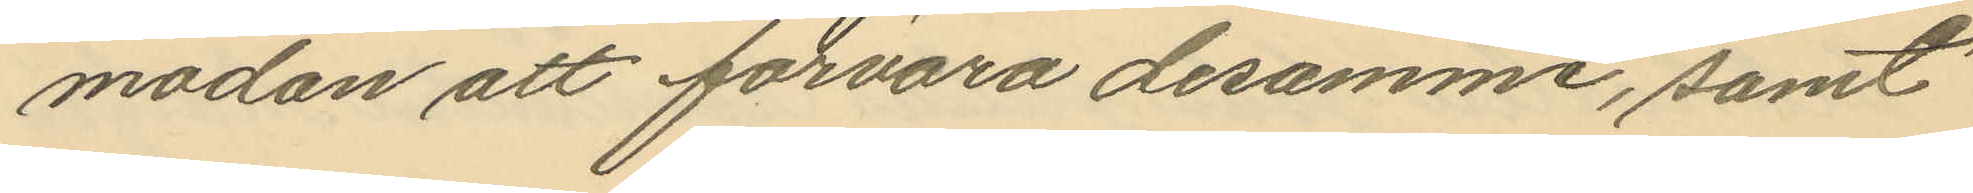modan att förvara desamme, samt
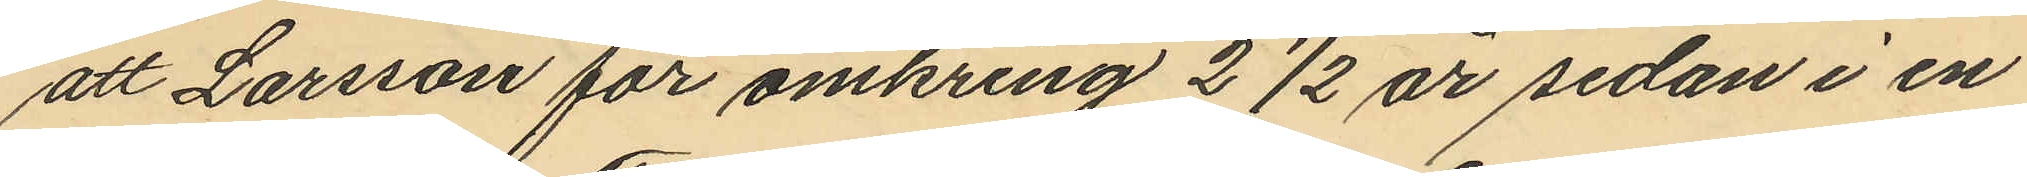att Larsson för omkring 2 1/2 år sedan i en
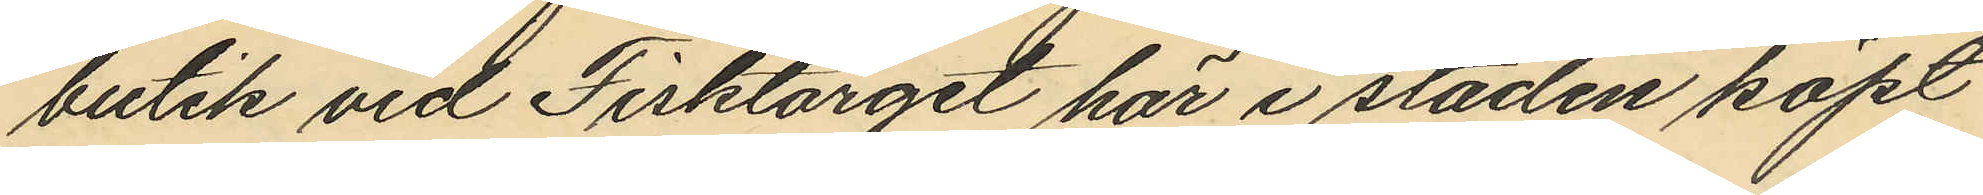butik vid Fisktorget här i staden köpt
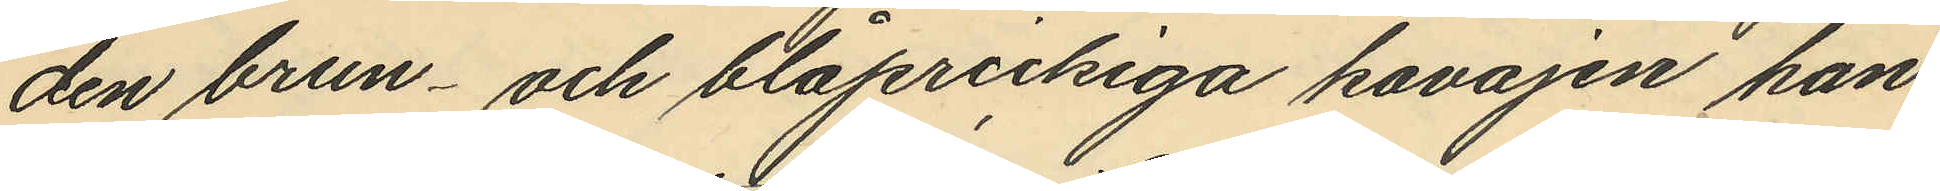den brun- och blåprickiga kavajen han
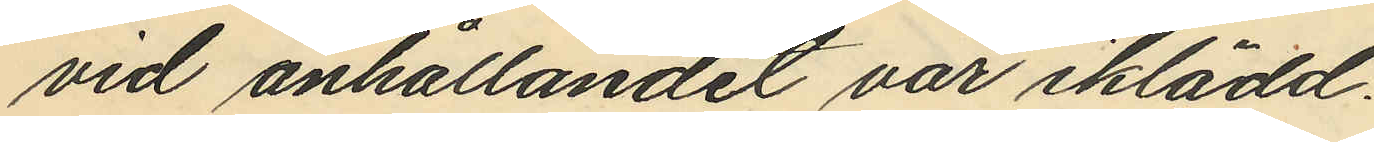vid anhållandet var iklädd.
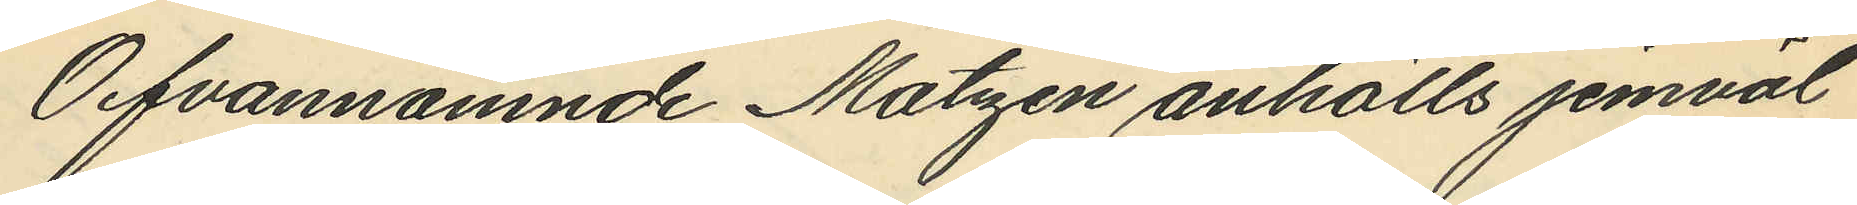Ofvannämnde Matzén anhölls jemväl
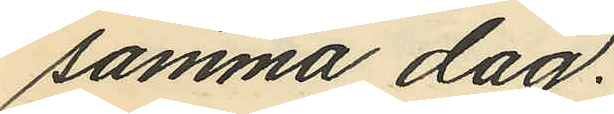samma dag.
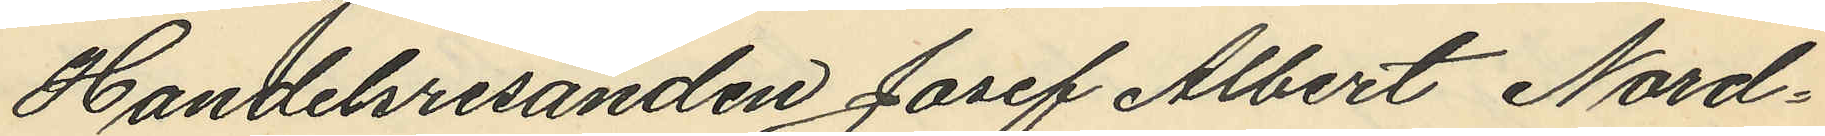Handelresanden Josef Albert Nord¬
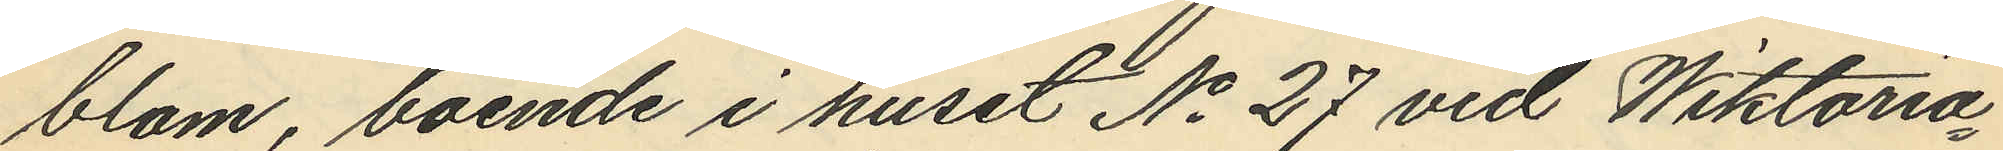blom, boende i huset No 27 vid Wiktoria¬
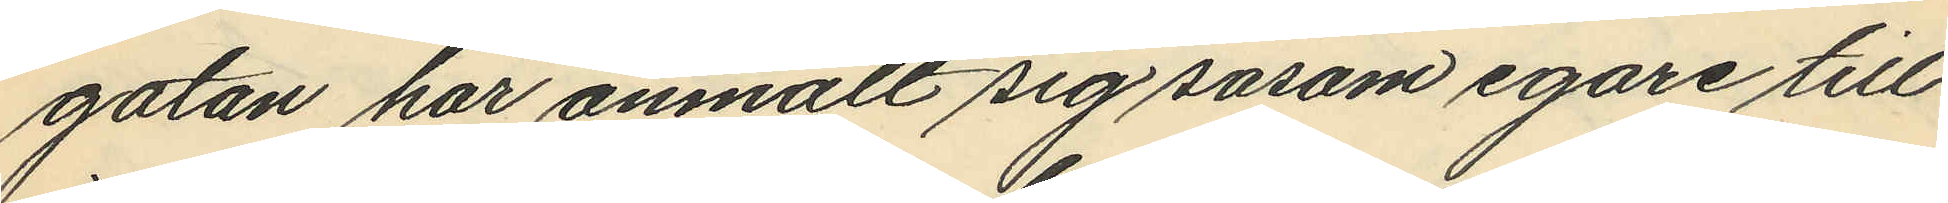gatan har anmält sig såsom egare till
